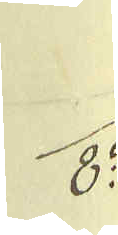8:
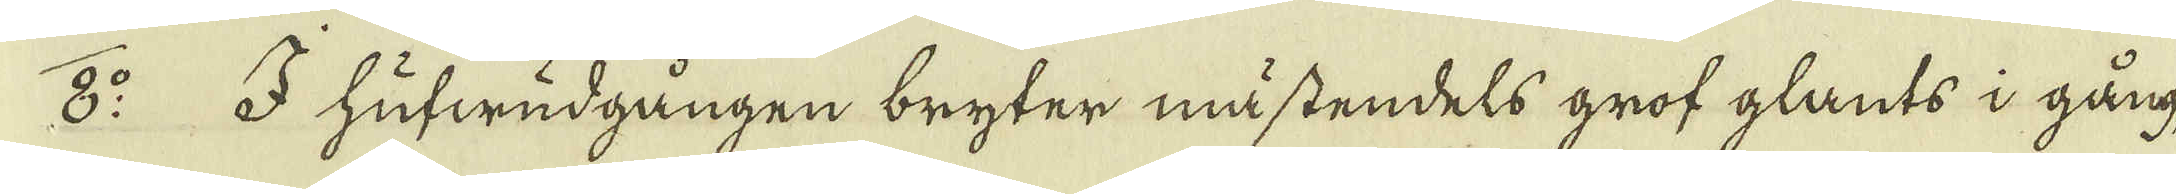8:o I hufwudgången bryter mästendels grof glants i gång,
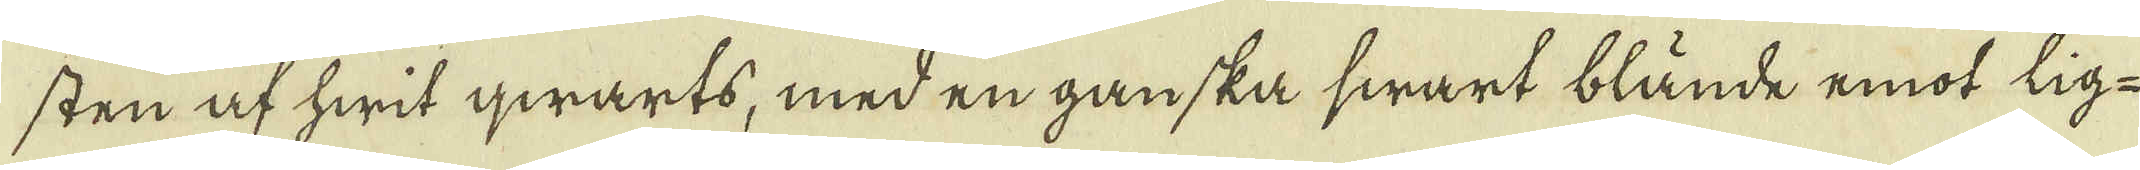sten af hwit qwarts, med en ganska swart blände emot lig-
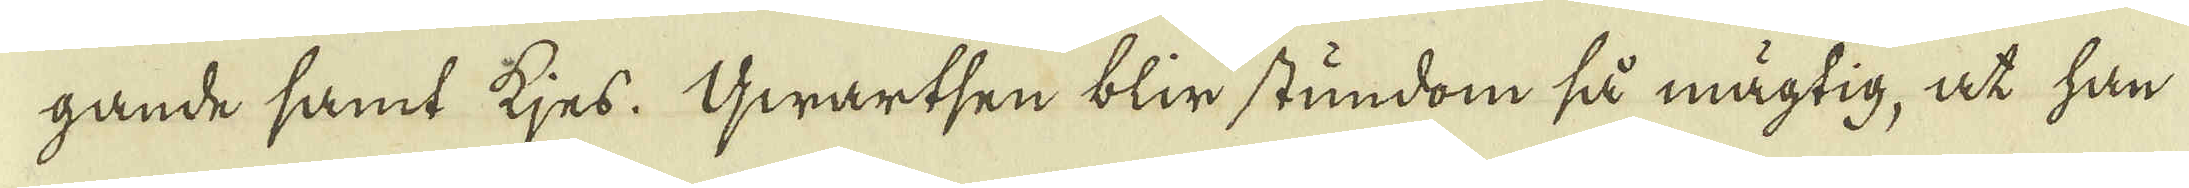gande samt tjes. Gwartsen blir stundom så mägtig, at han
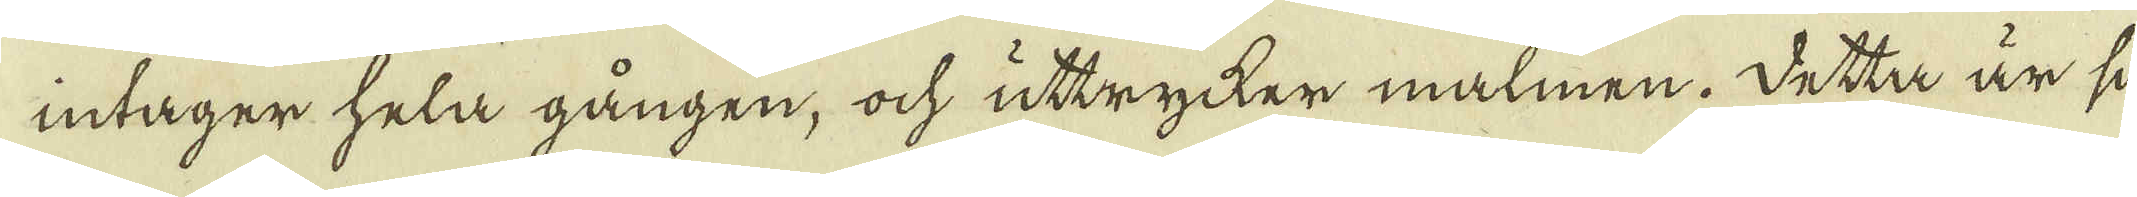intager hela gången, ock uttrycker malmen. Detta är si-
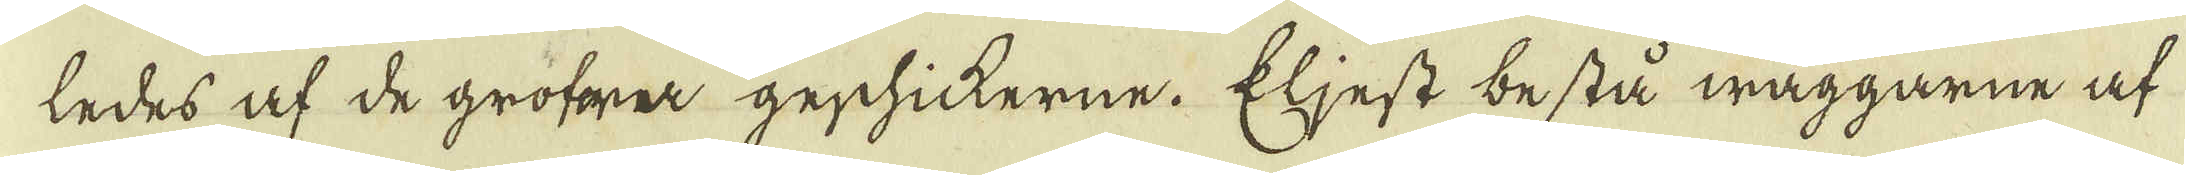ledes af de gröfra geschickerne. Eljest bestå wäggarne at
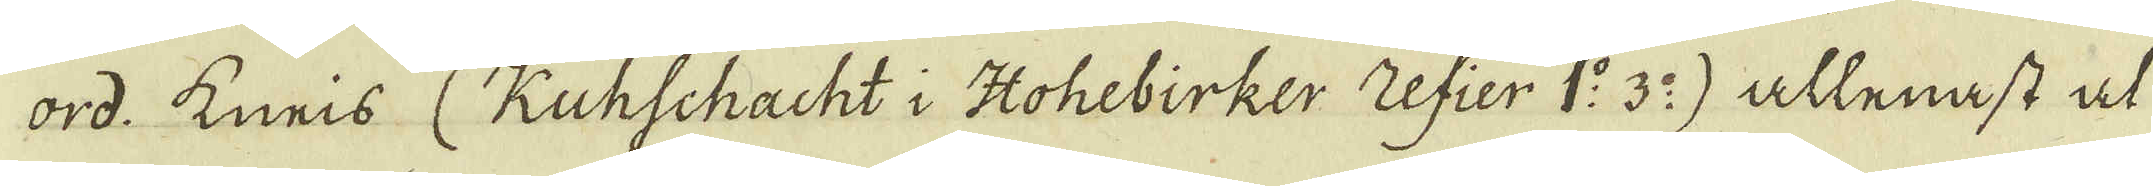ord. kneis (Kuhschacht i Hohebirker Zefier 1:o 3:o) allenast at
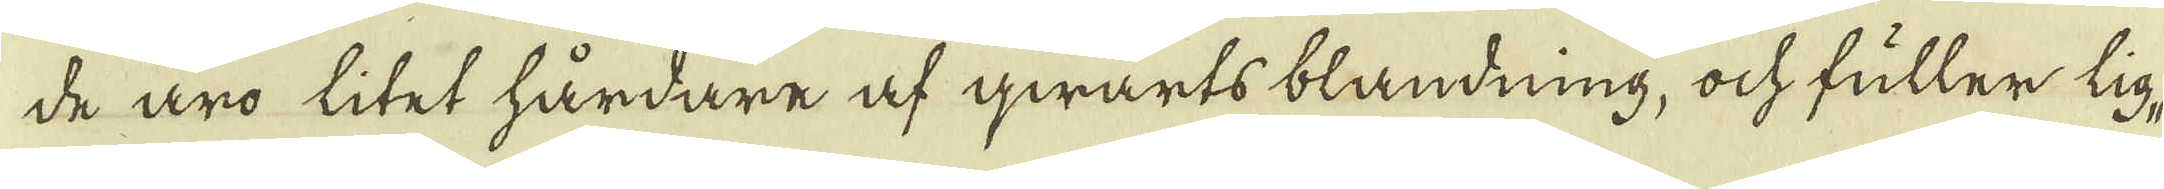de äro litet hårdare af qwarts blandning, ock fuller lig-
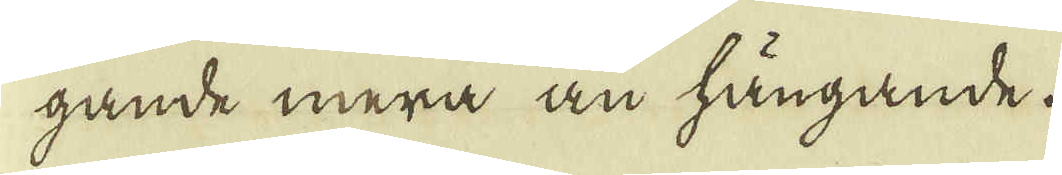gande mera än hängande.
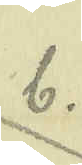b.
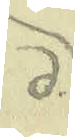d.
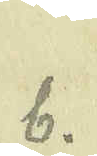b.
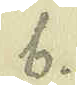b.
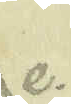e.
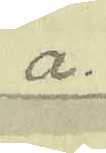a.
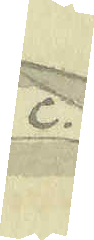c.
